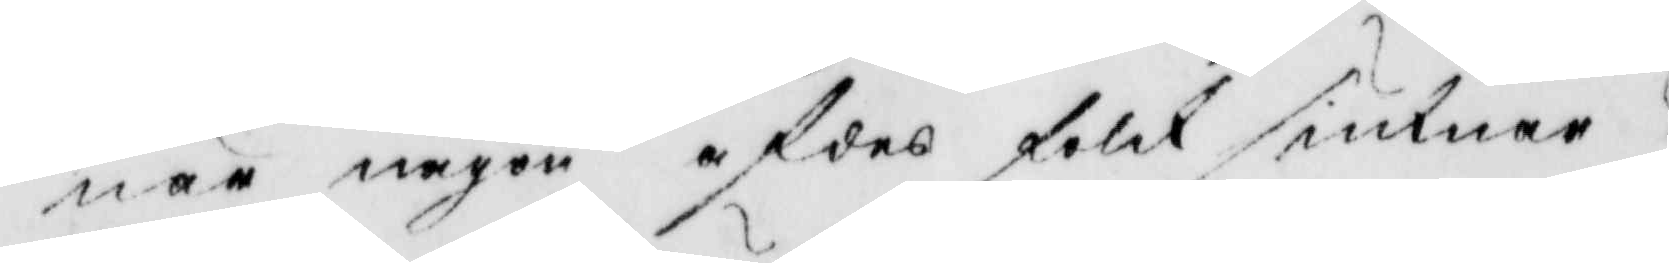när någon afdes folck siuknar.
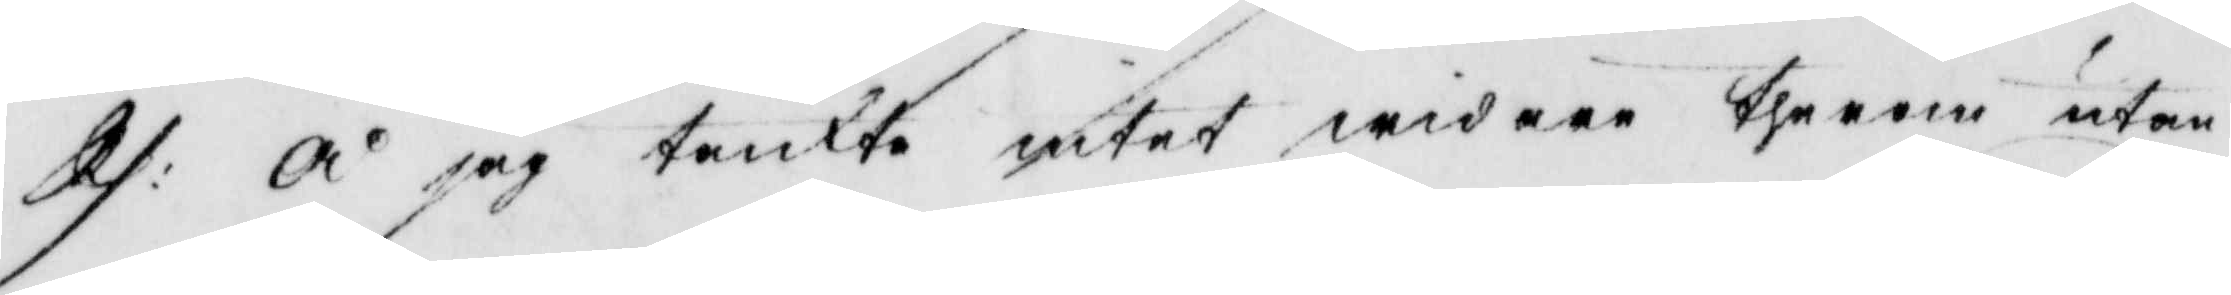Rs: å jag tankte intet widarr therom utan 
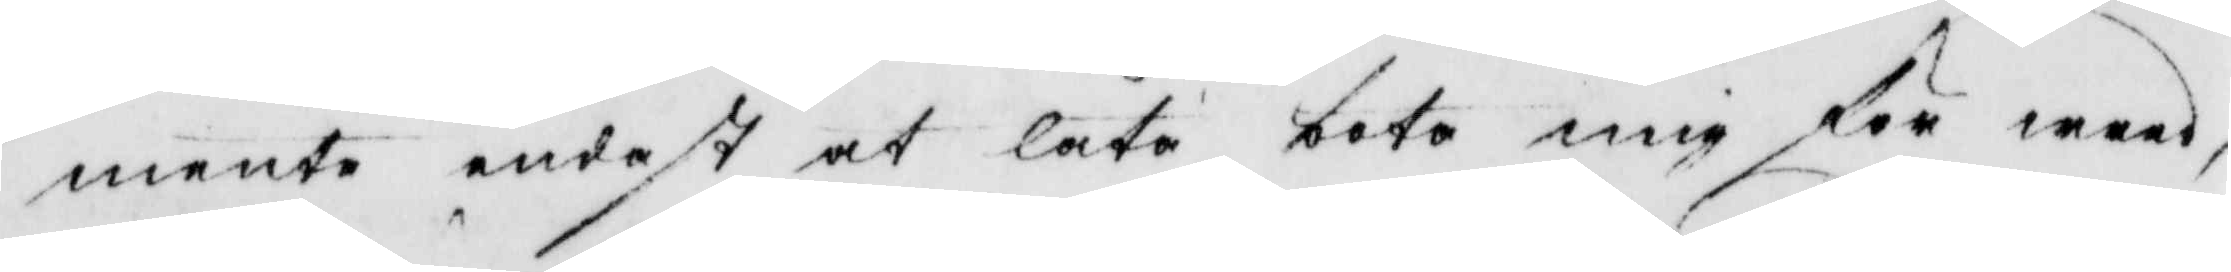mente endest at låta boto mig för waad,
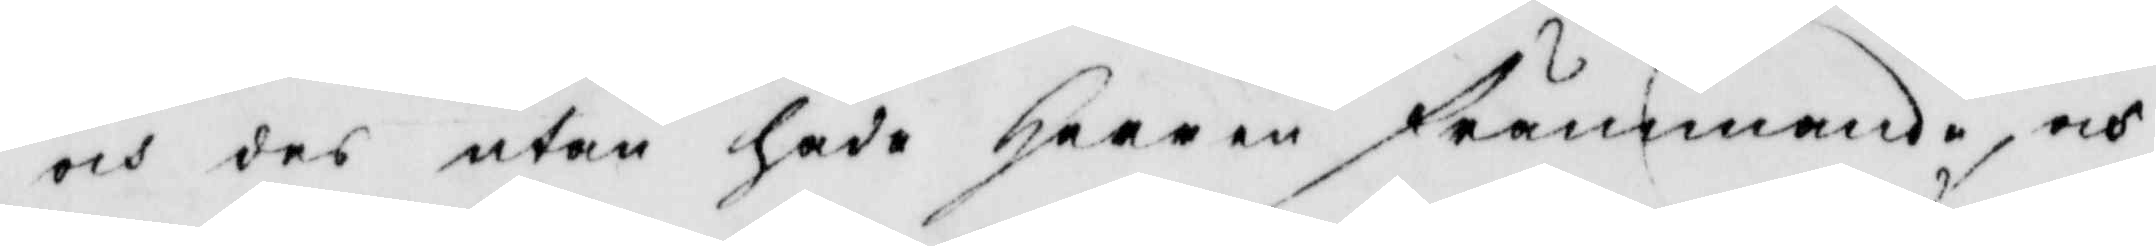och des utan hade Haaren främmande, och
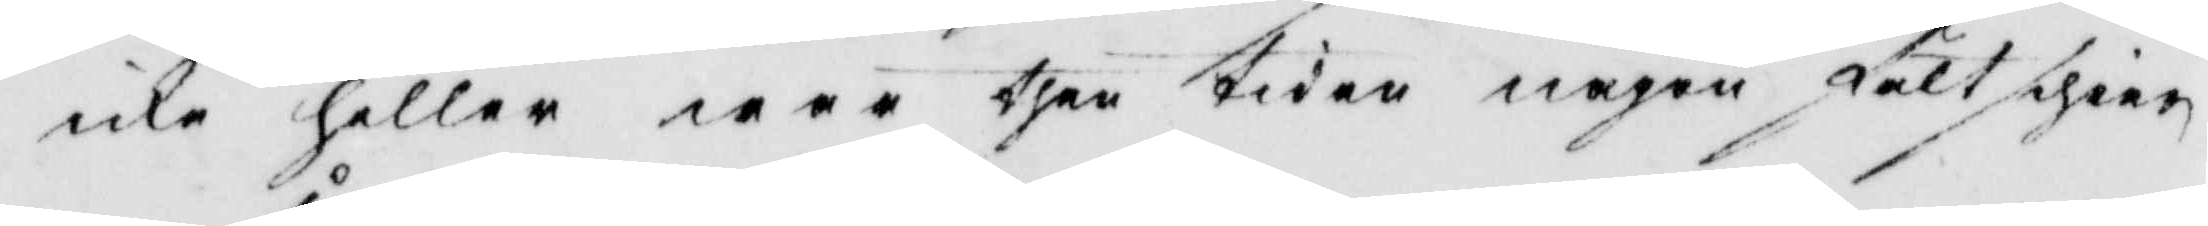icke heller wer ther twan någon fältgien
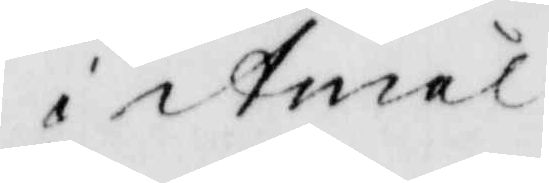i Atnäl
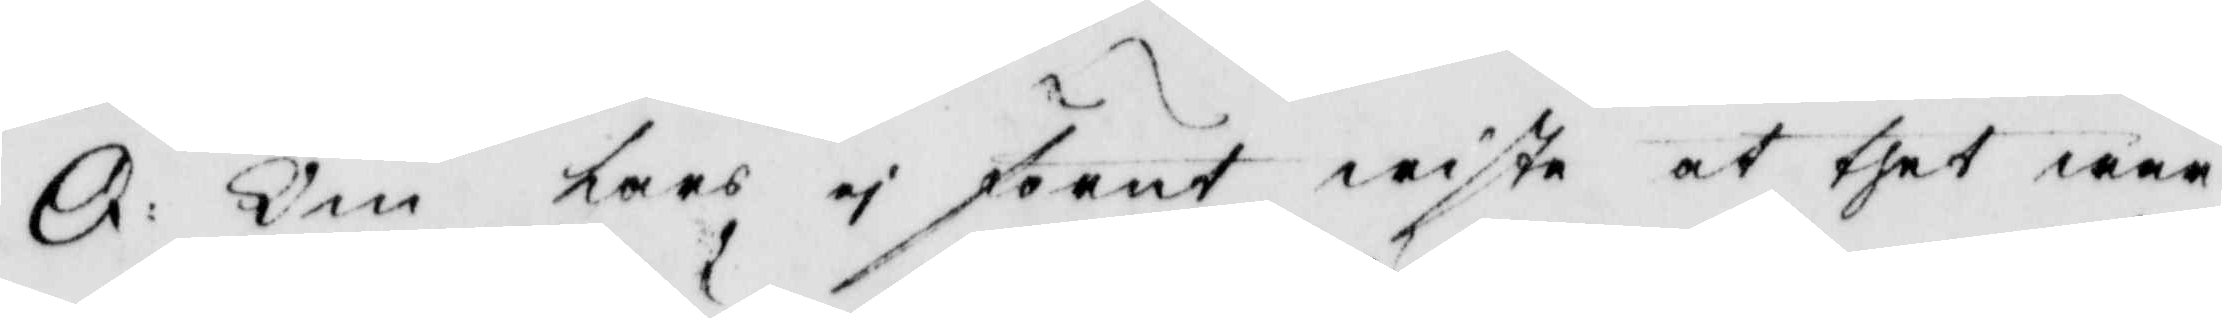O. Om Lars ii Jöent wiste at thet war
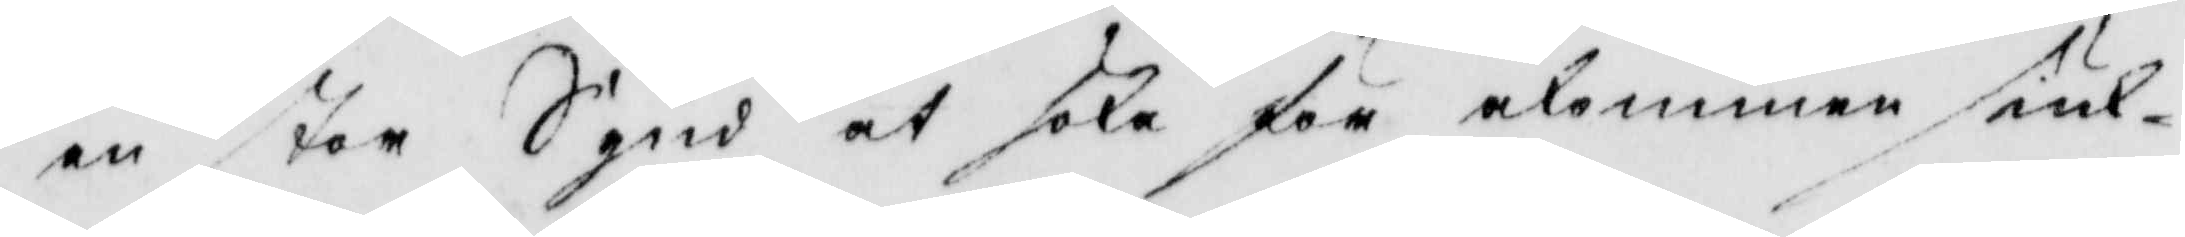en stor Sgud at sola för alemmen siul¬
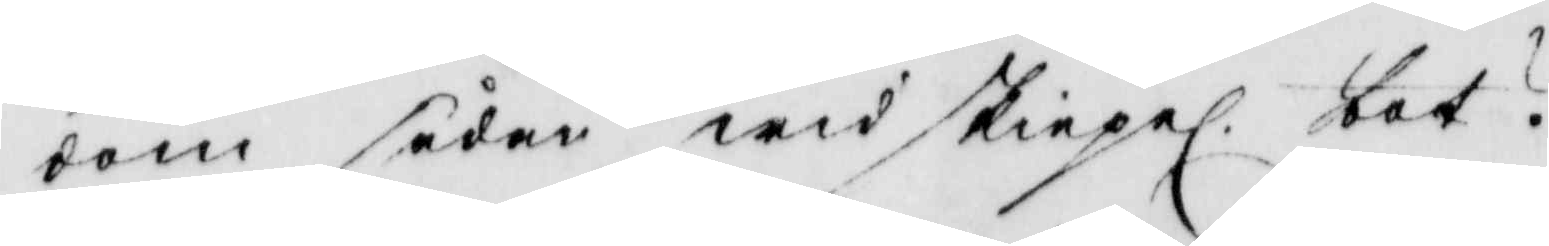dom sedan ewid skiepel. bar. 
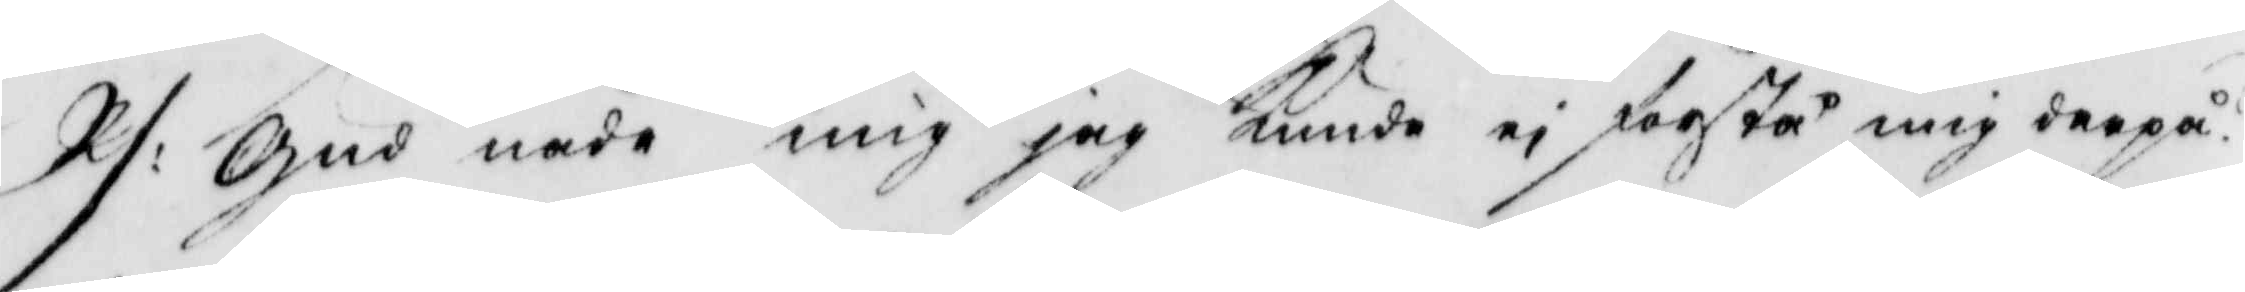R/: Gud nåde mig jag kunde ei förstå mig derpå. 
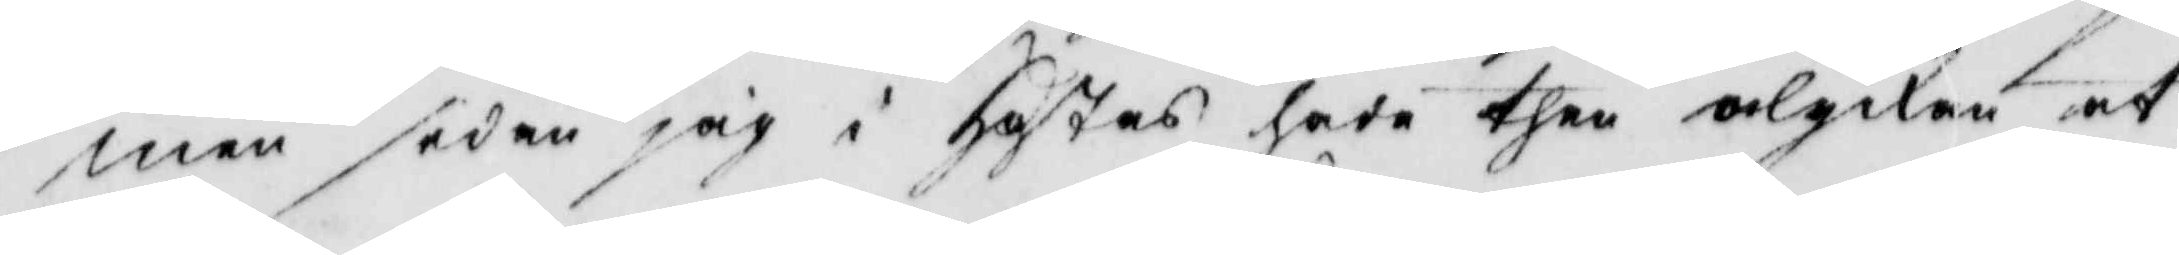men sedan jag i Hatas hade ther olgikan af
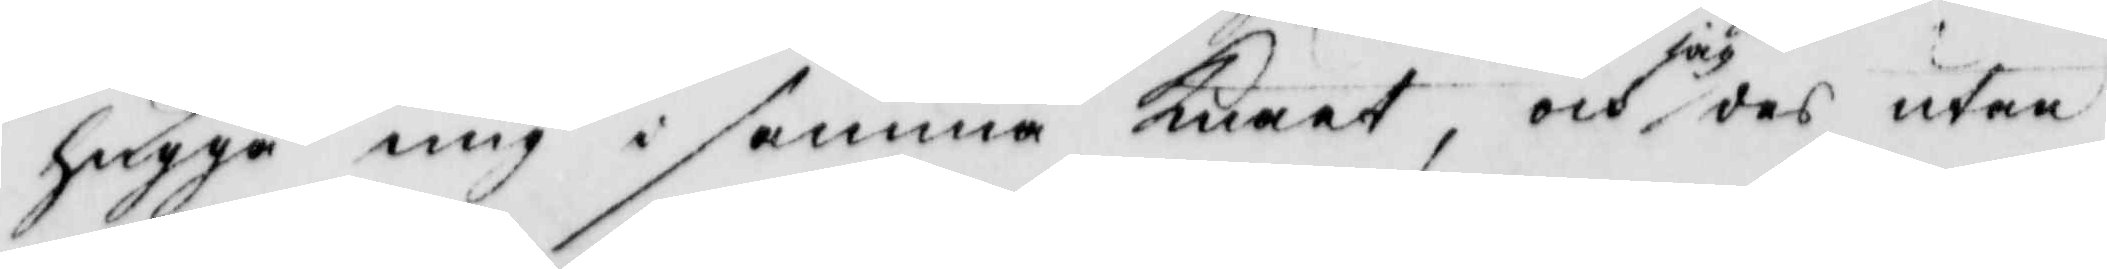hugga mig i samma Knaat, och o och utan
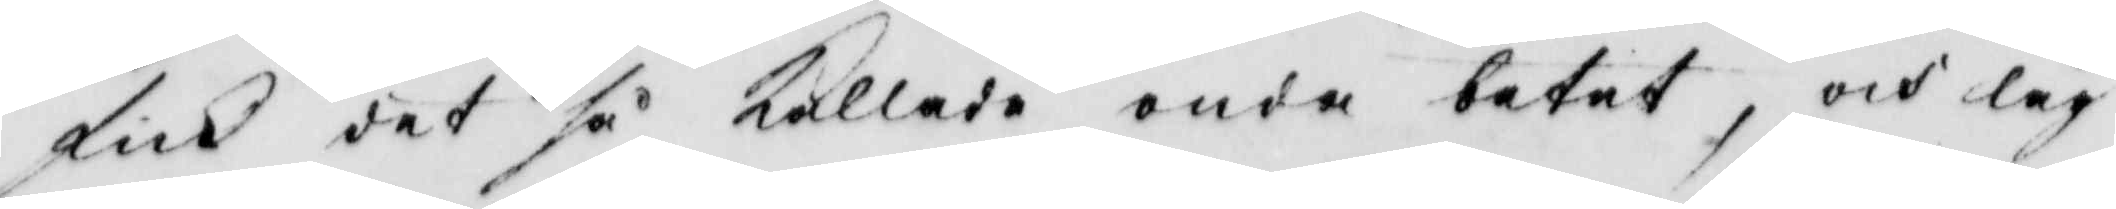fick det så kallade onde betet, och lag
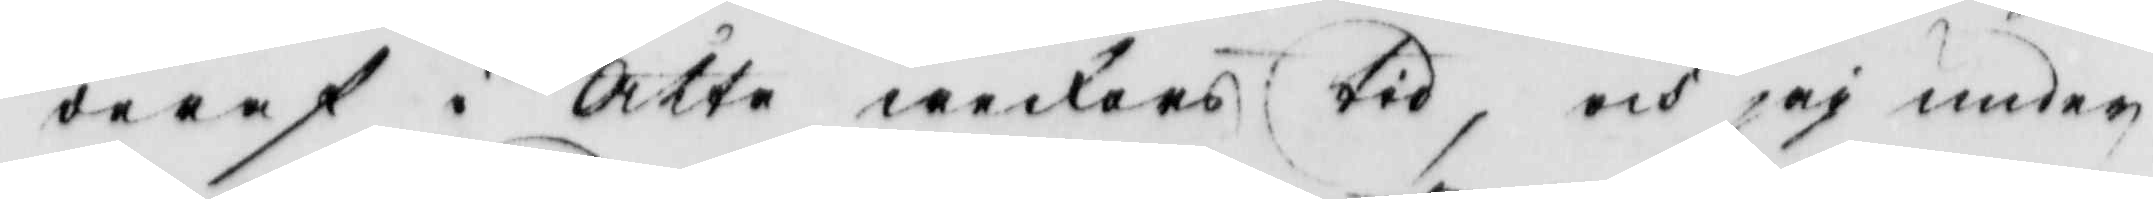daraf i Åtte wedars tid, och jag unden
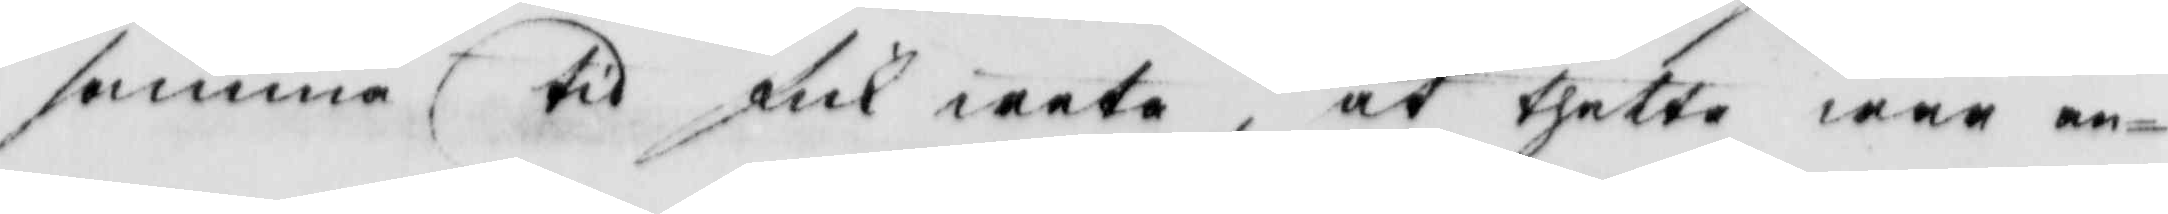samma? til fick weta, at thetta war an¬
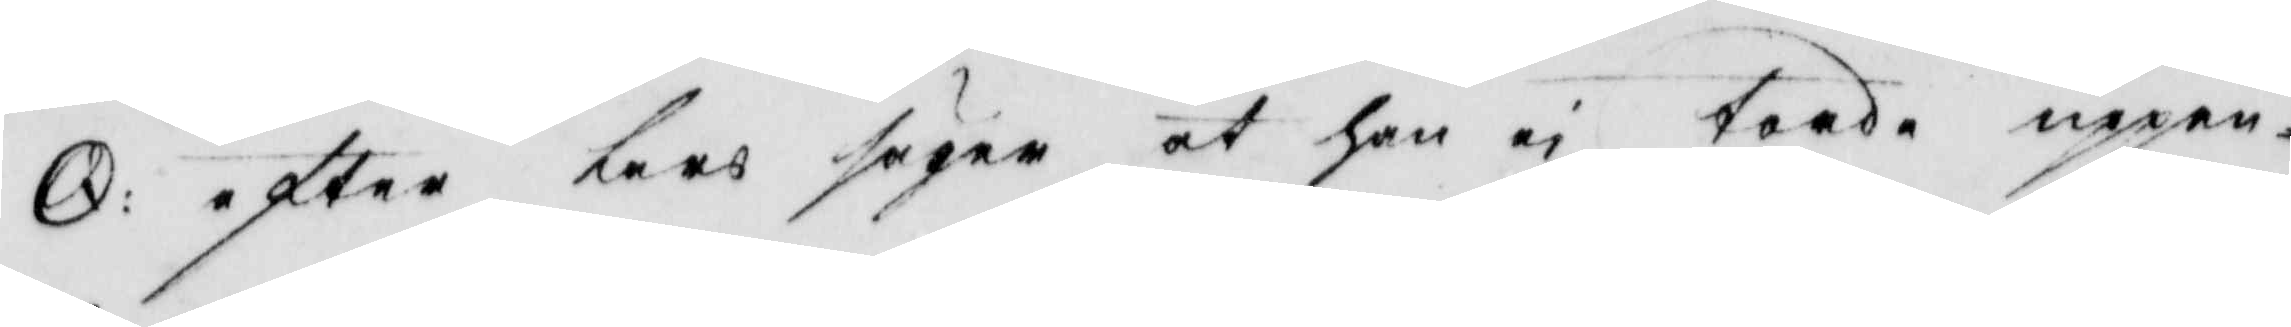8. efter kars säger at han ei torda uppen¬
